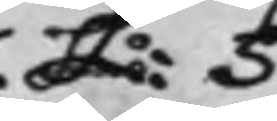L: S
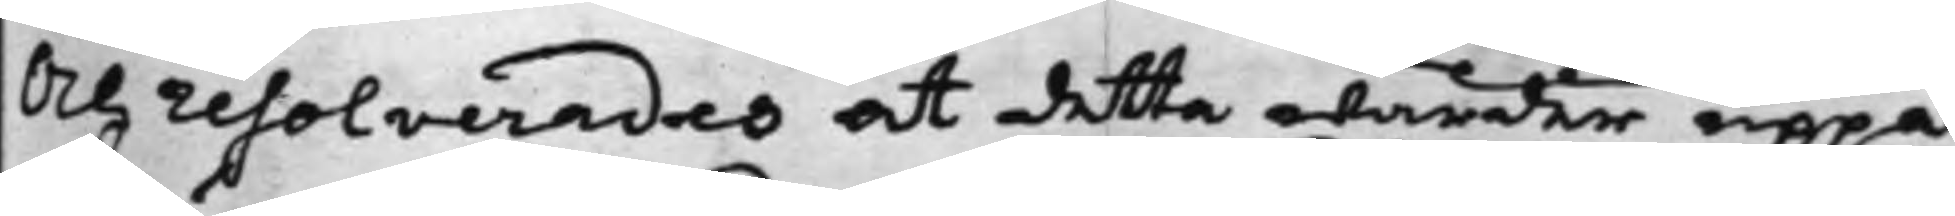Och resolverades at detta warder uppå
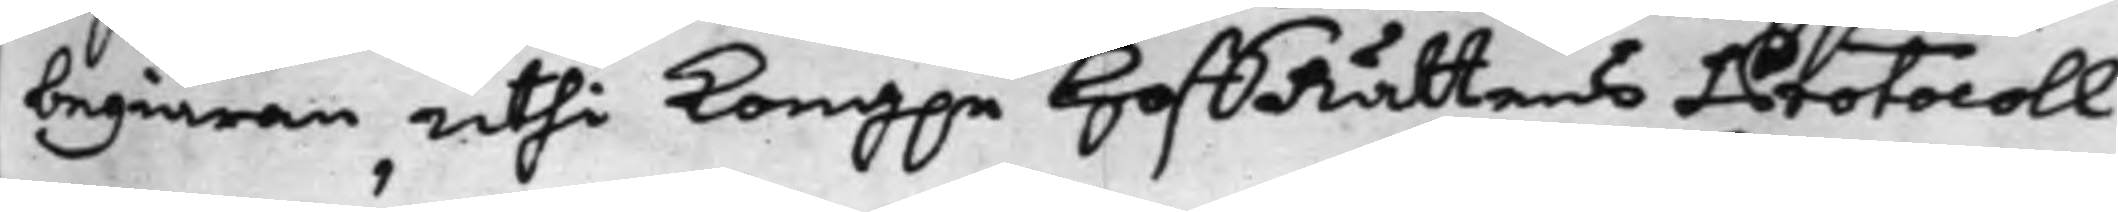begiäran uthi Kong.e HoffRättens Protocoll
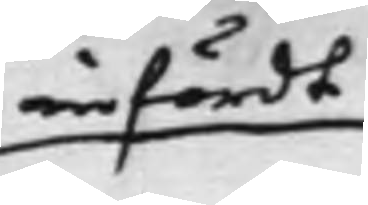infördt
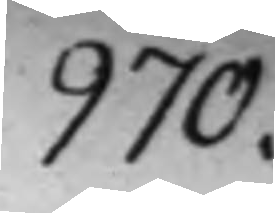970.
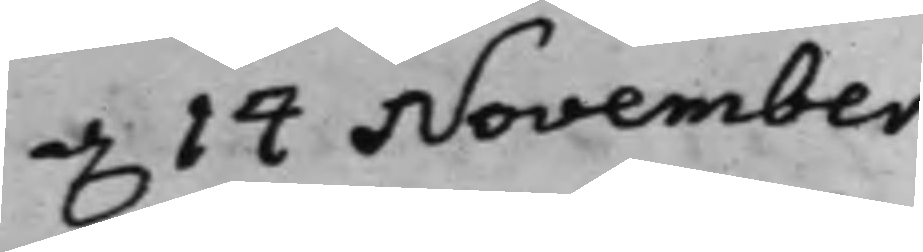d. 14 November.
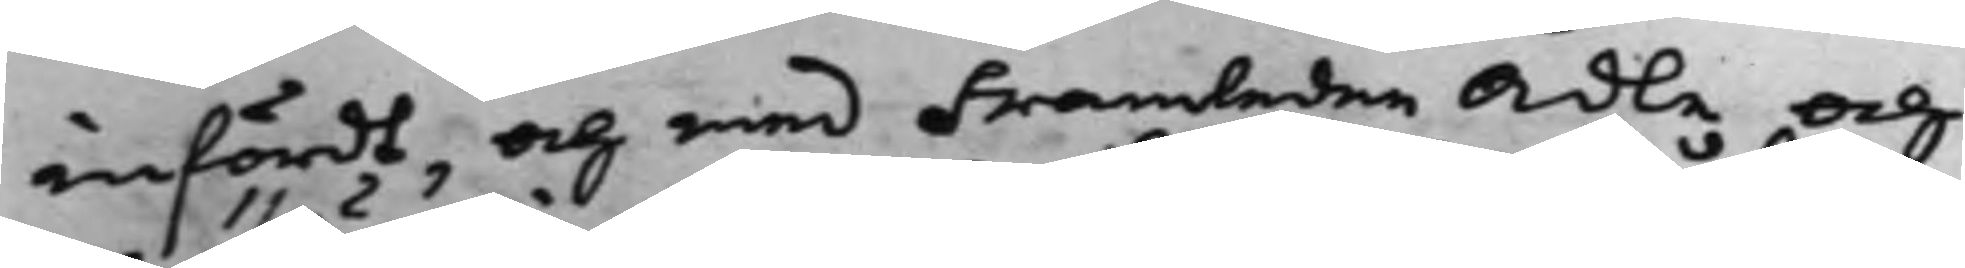infördt, och med Framledne Ädle och
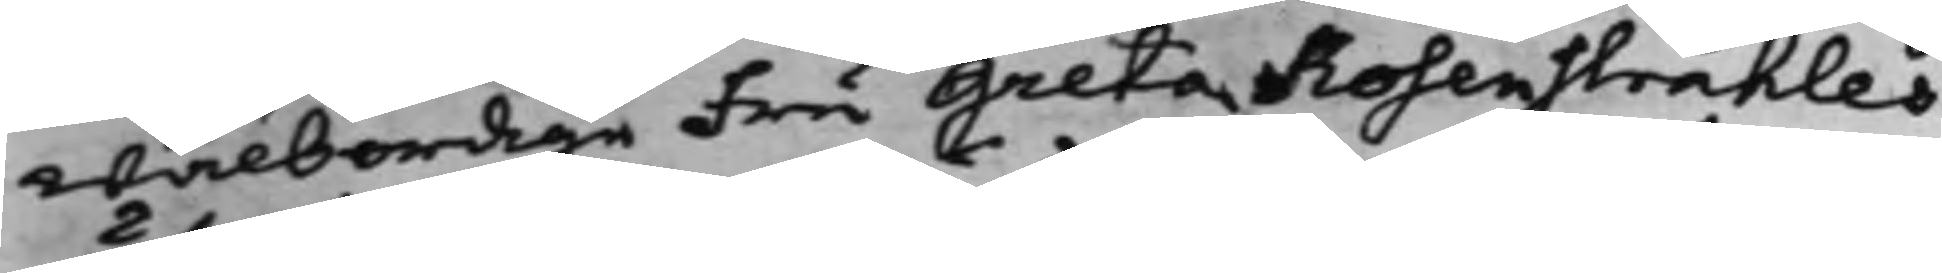Wälbördige Fru Greta Rosenstråhles
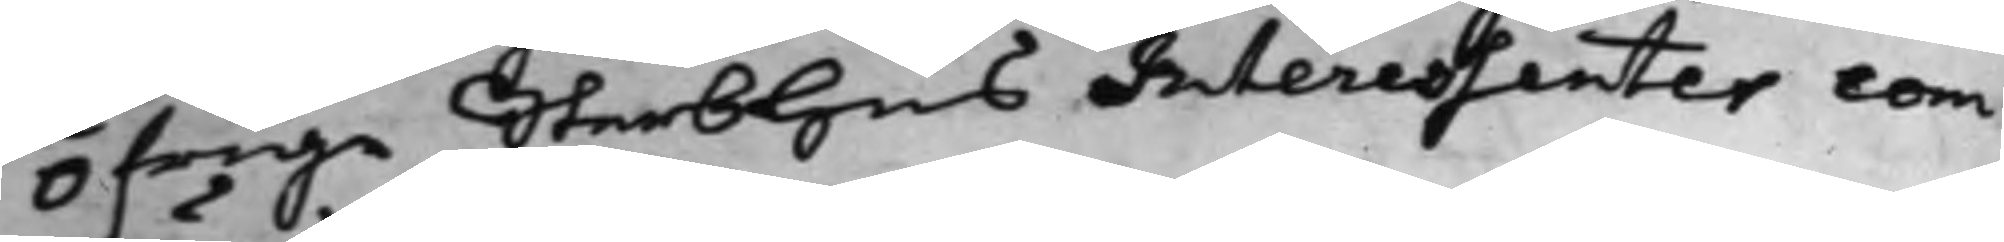Öfrige Sterbhus Interessenter com¬
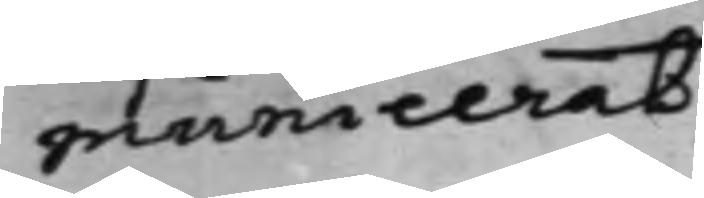municerat.
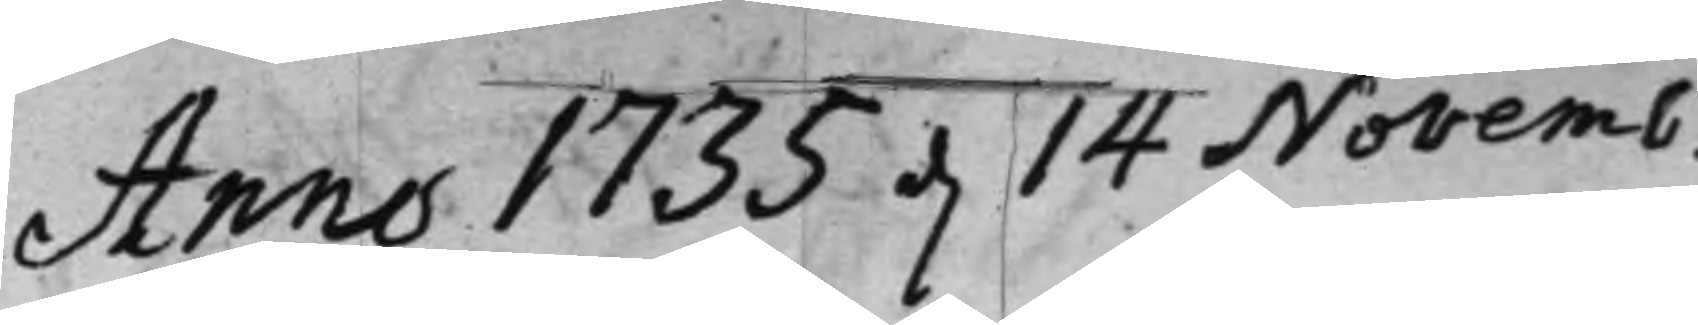Anno 1735 d. 14 Novemb.
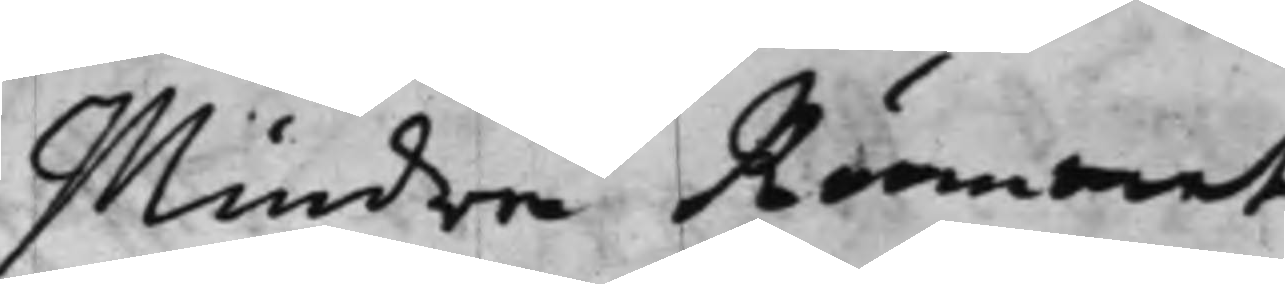Mindre Rummet.
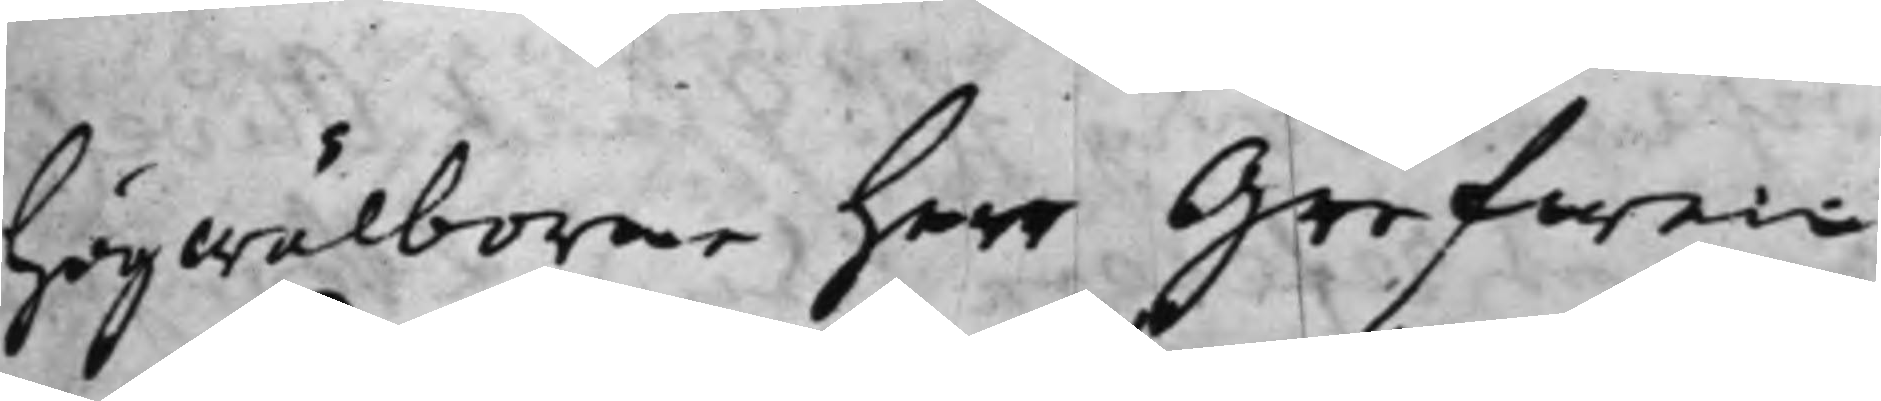Högwälborne herr Grefwe
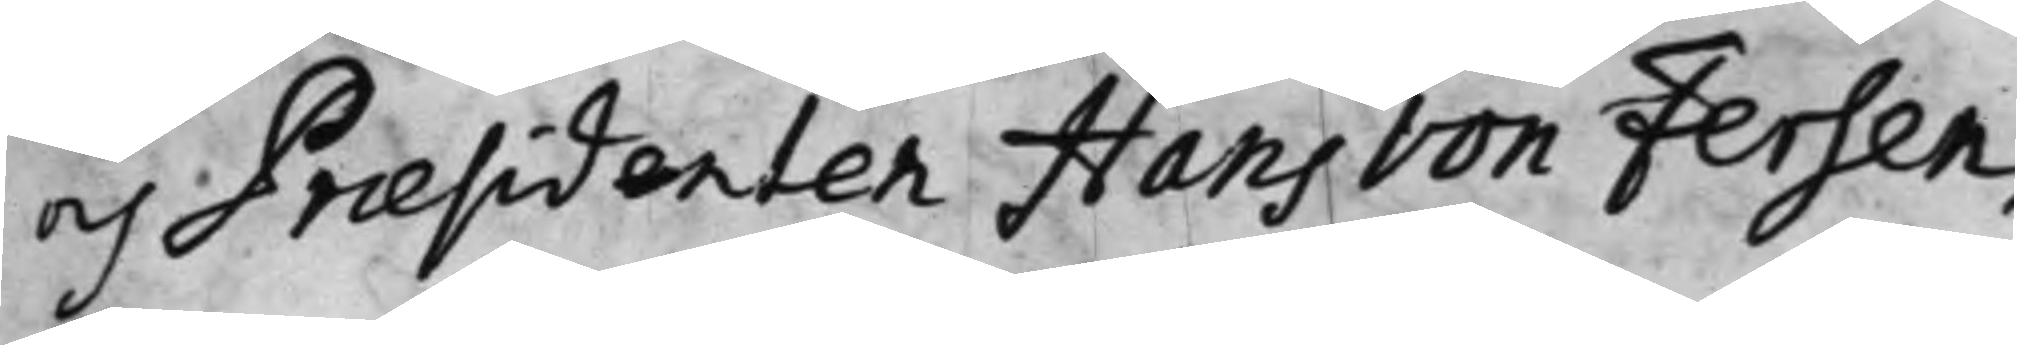och Præsidenten Hans von Fersen,
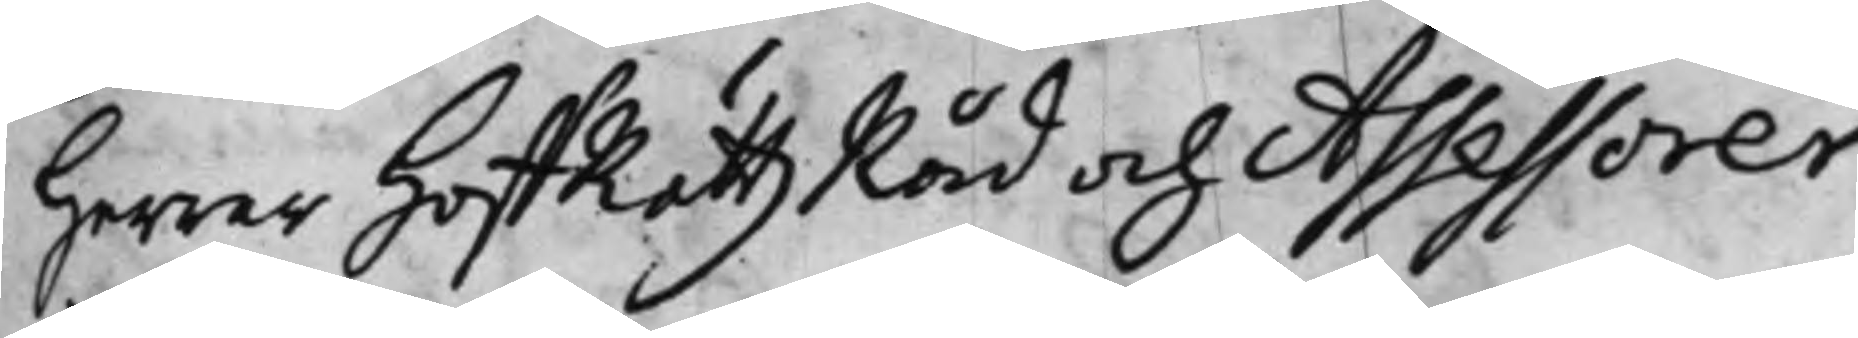Herrar HoffRättzRåd och Assessorer:
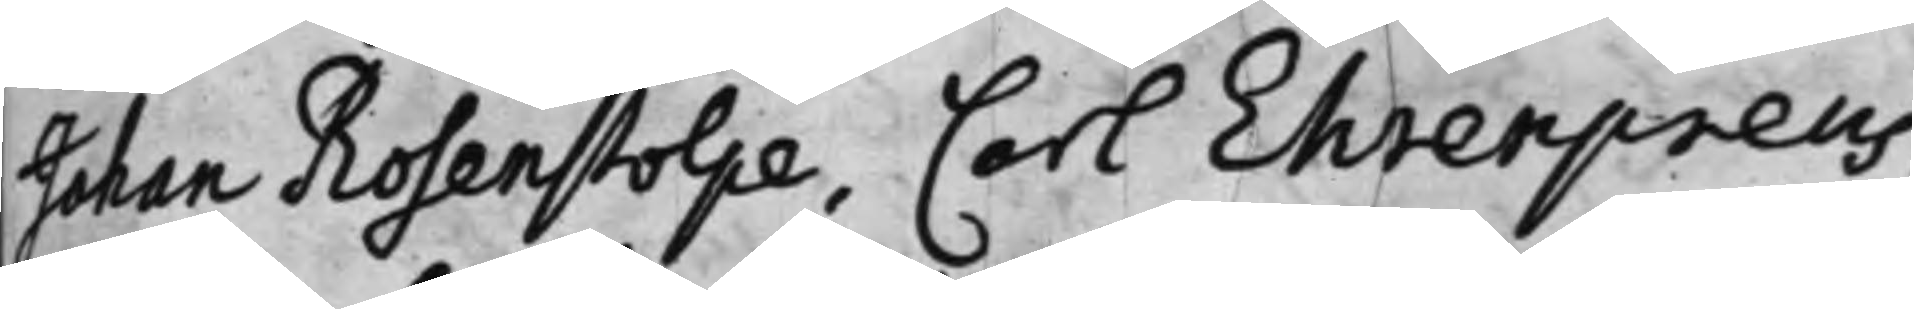Johan Rosenstolpe, Carl Ehrenpreus,
